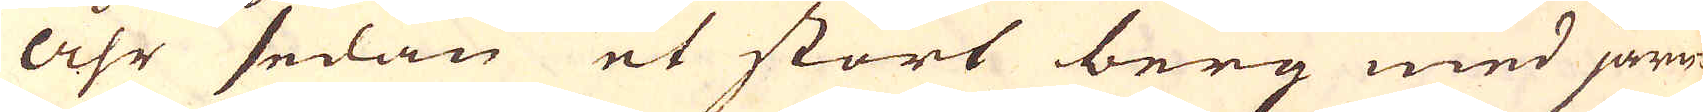åhr sedan et stort berg med järn-
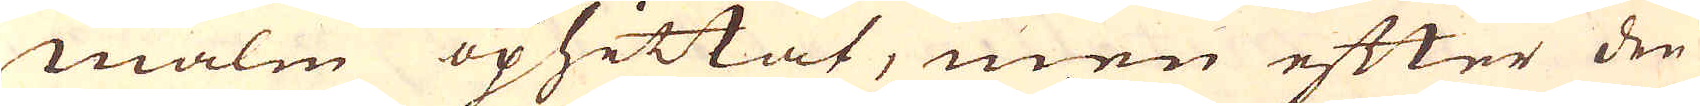malm ophittat, men efter den
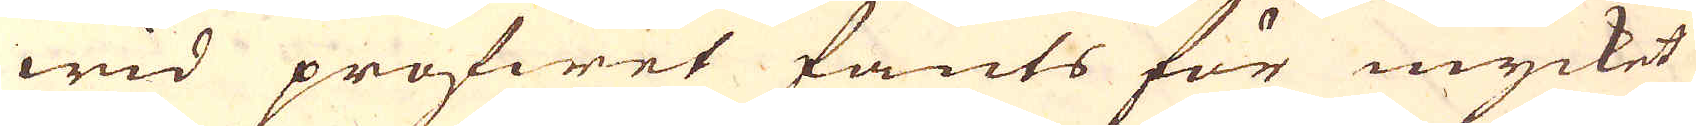wid profwet fants för mycket
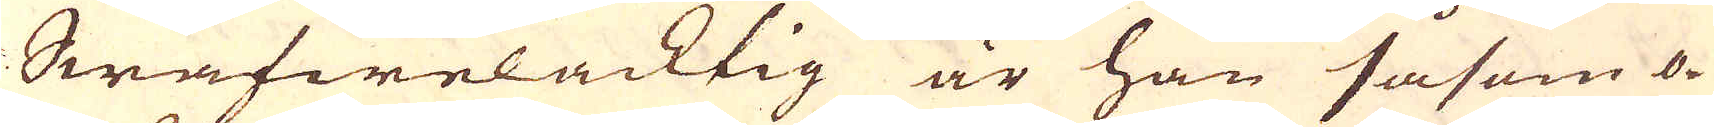Swafwelacktig är han såsom o-
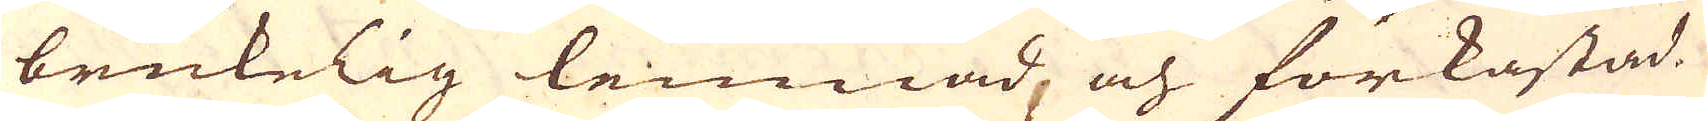brukelig lemnad och förkastad.
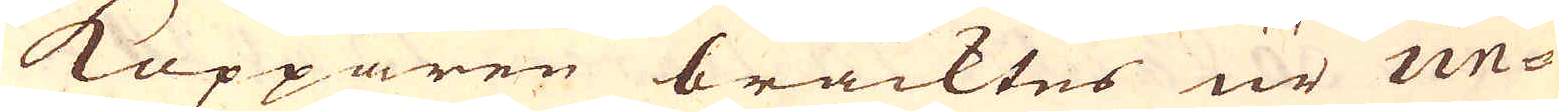Kopparen bracktes ur Un-
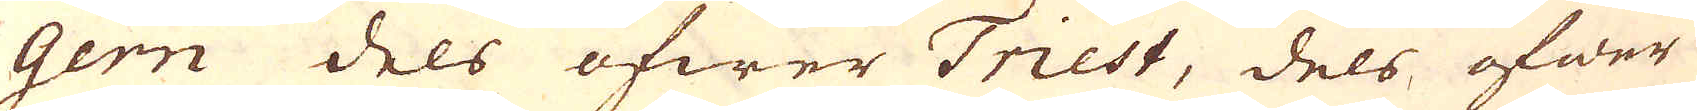gern dels öfwer Triest, dels öfwer
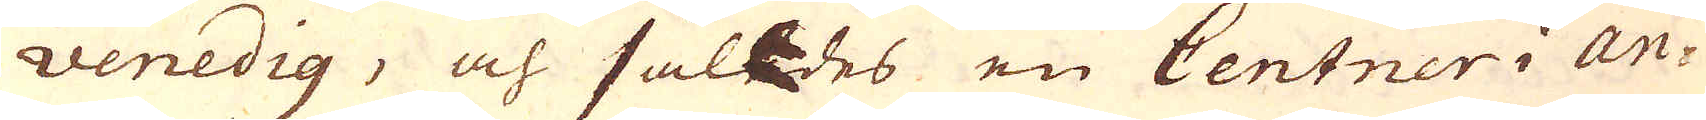Venedig, och såldes en Centner i An-
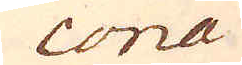cona
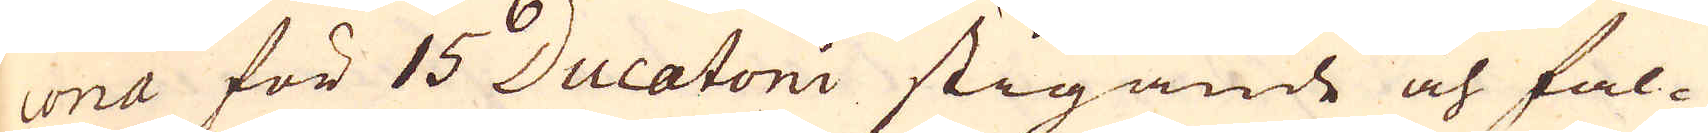cona för 15 Ducatoni stigande och fal-
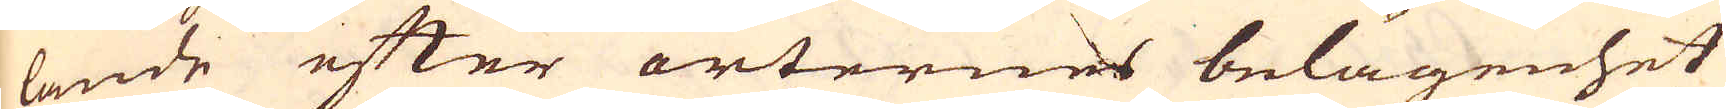lande efter orternes belägenhet
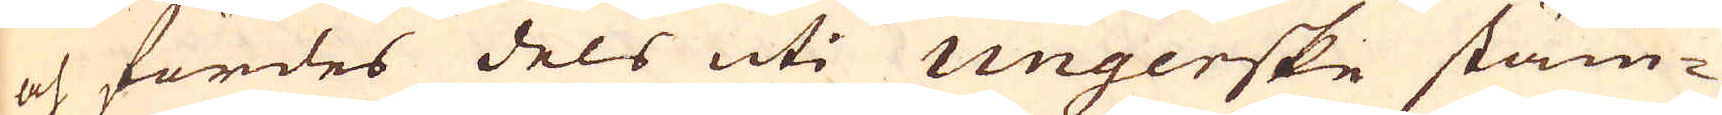och fördes dels uti Ungerske stäm-
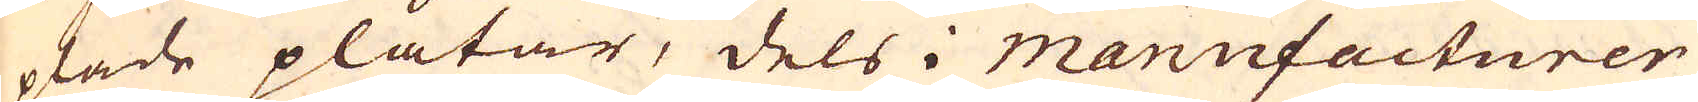plade plåtar, dels i Manufacturer
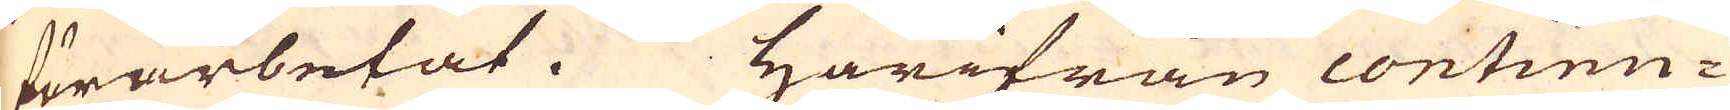förarbetat. Härifran continu-
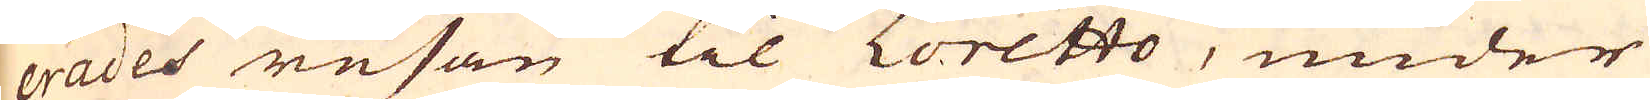erades resan til Loretto, under
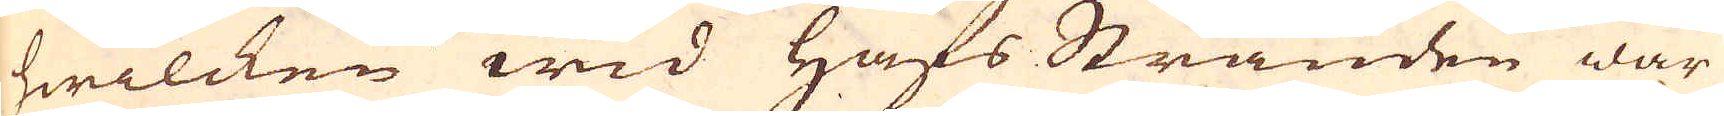hwilcken wid Hafs Stranden war
